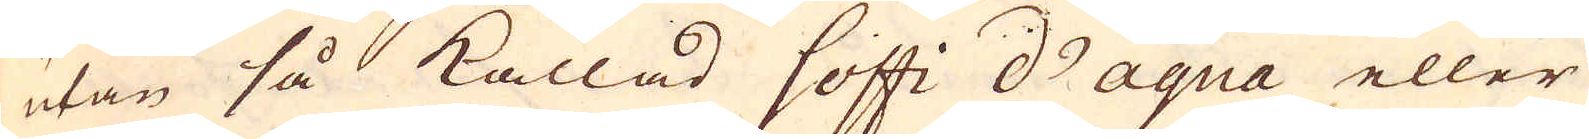utan så kallad Soffi d'aqua eller
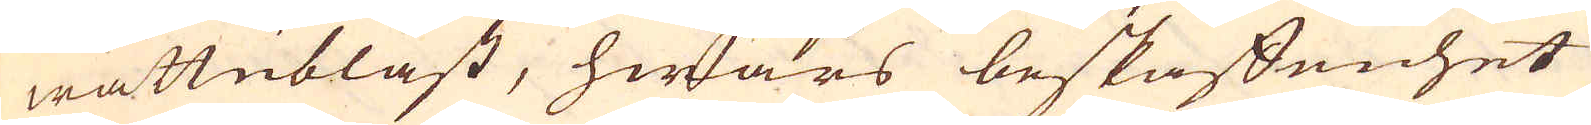wattublåst, hwars beskaffenhet
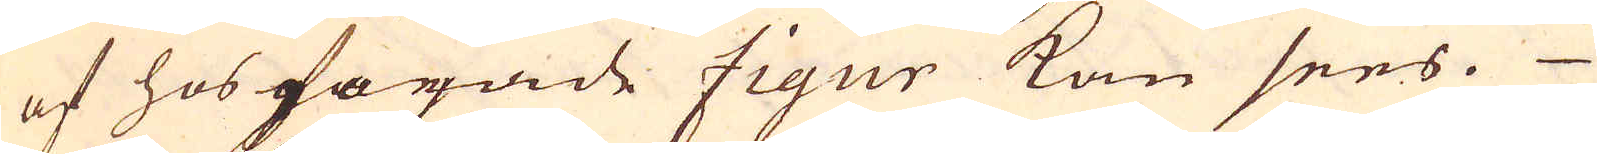af hosfogade figur kan sees.
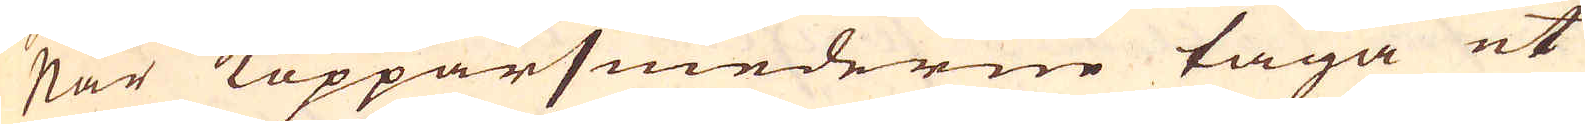När Kopparsmederne taga ut
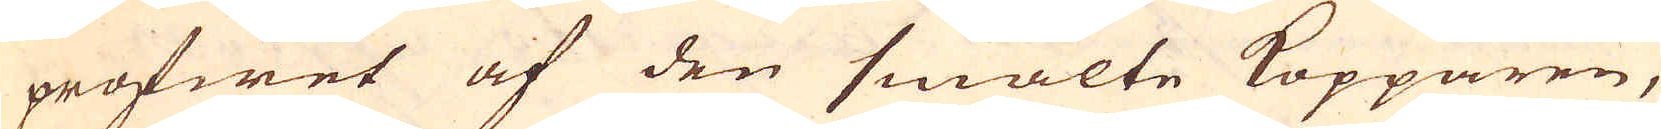profwet af den smälte Kopparen,
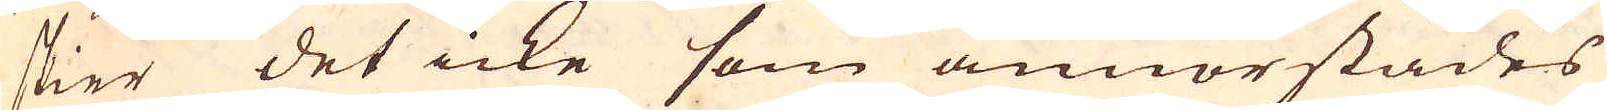skier det icke som annorstädes
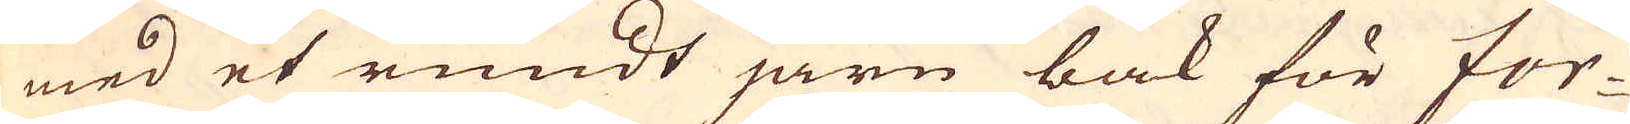med et rundt järn bak för For-
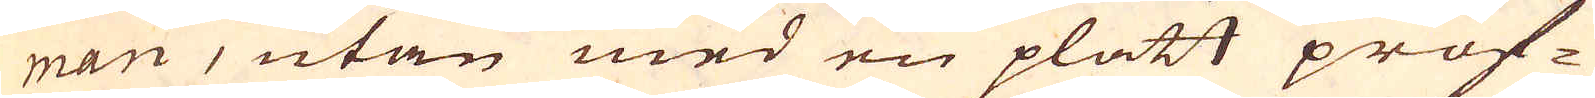man, utan med en platt prof-
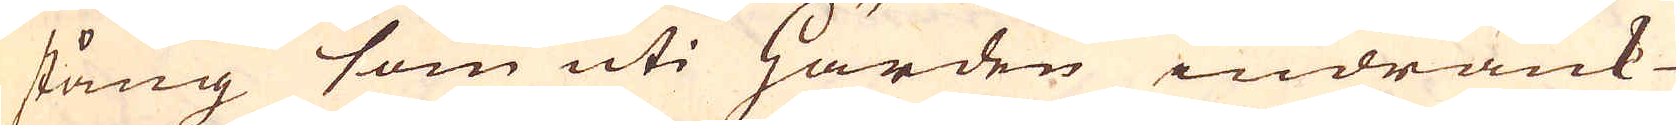stång som uti Härden indränk-
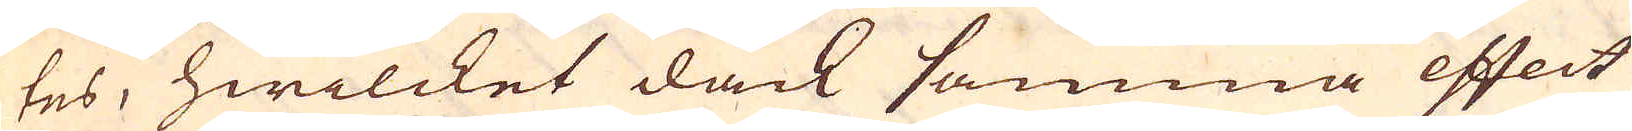tes, hwilcket dåck samma effect
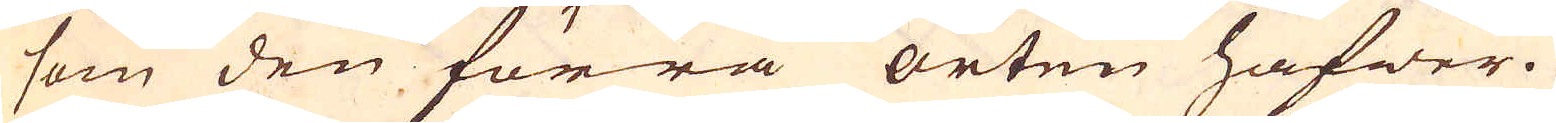som den förra orten hafwer.
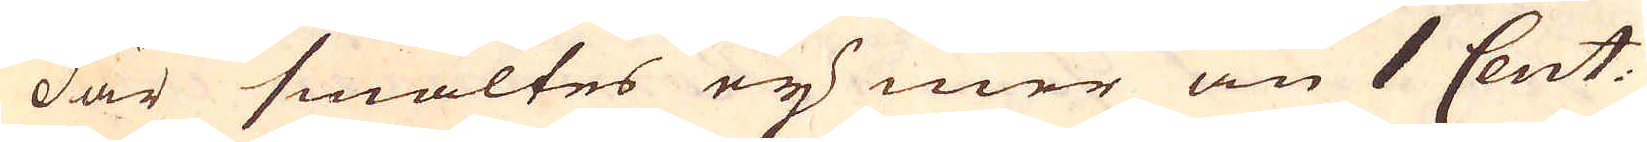Där smältes ey mer än 1 Cent.
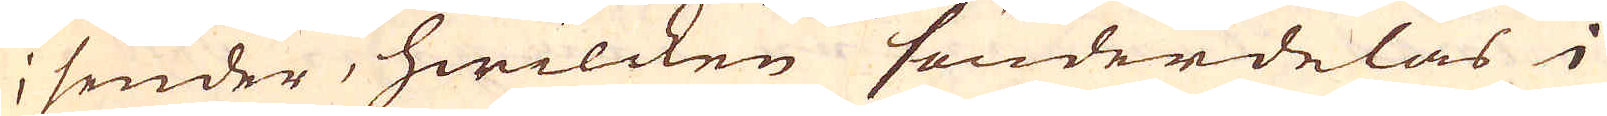i sender, hwilcken sönderdelas i
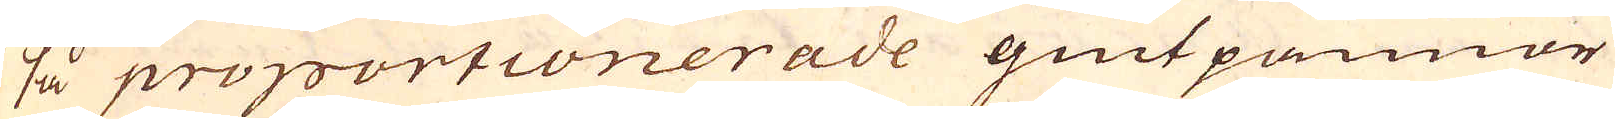så proportionerade giutpannor
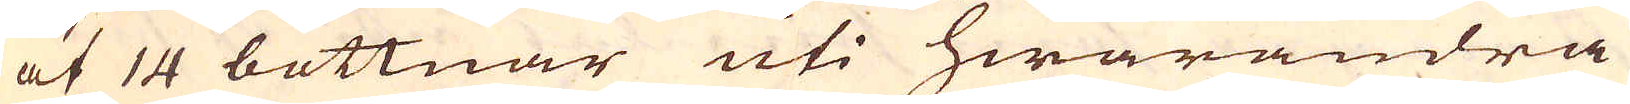at 14 bottnar uti hwarandra
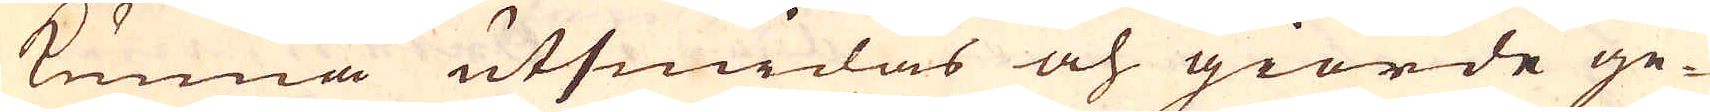kunna utsmidas och giorde ge-
